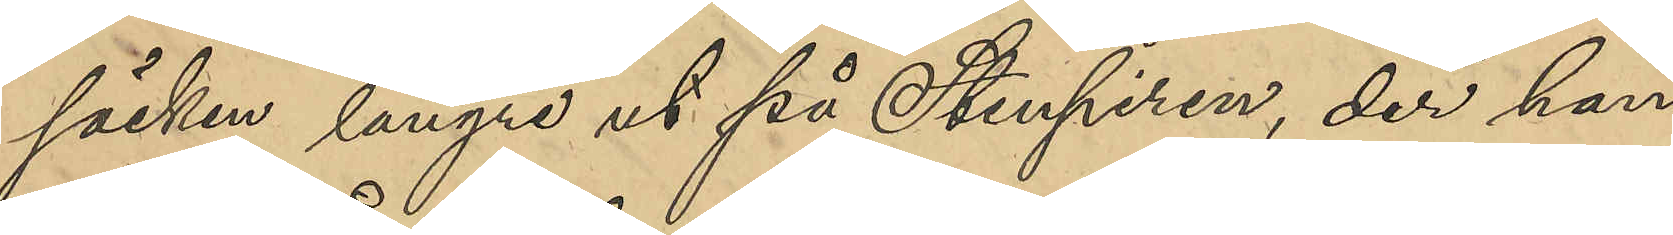säcken längre ut på Stenpiren, der han
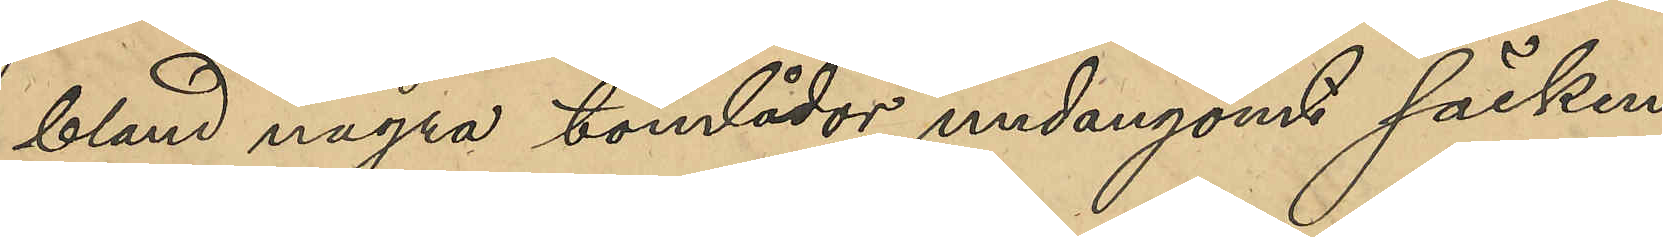bland några tomlådor undangömt säcken
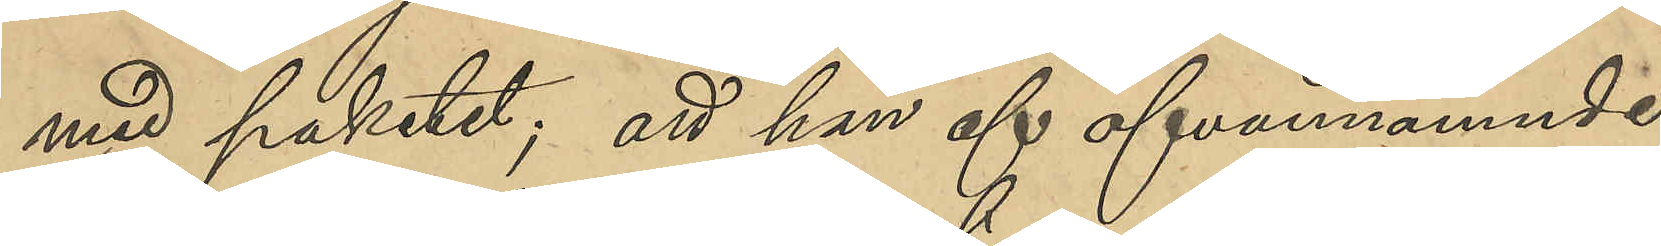med paketet; att han af ofvannämnde
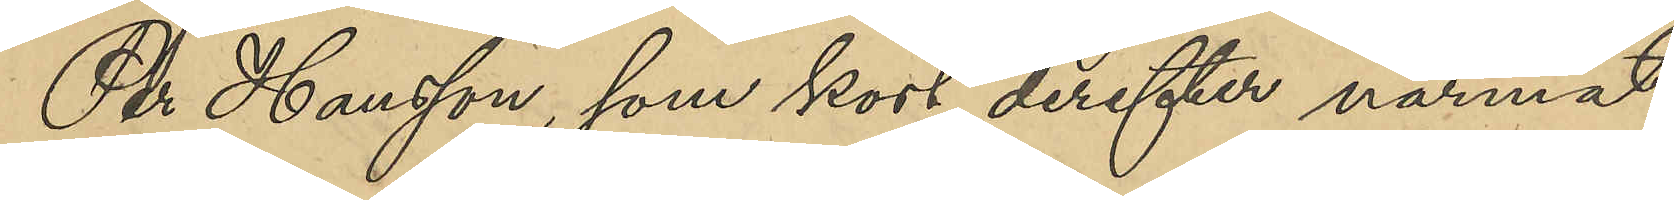Per Hansson, som kort derefter närmat
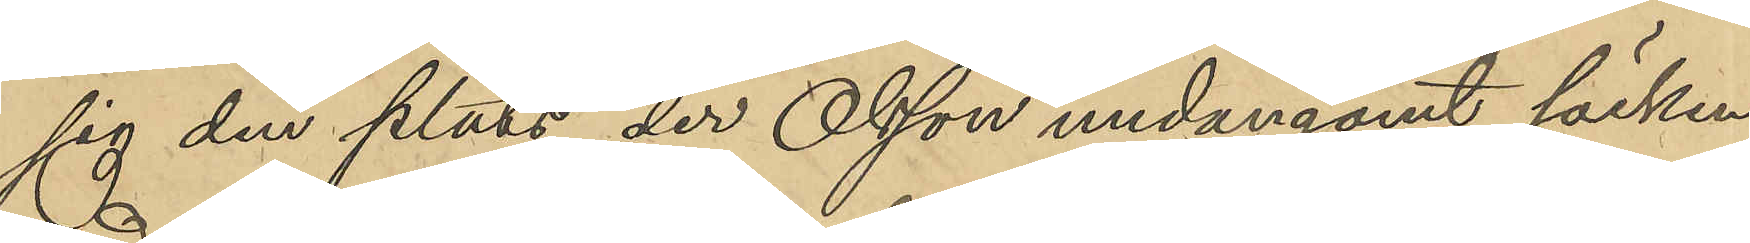sig den plats, der Olsson undangömt säcken
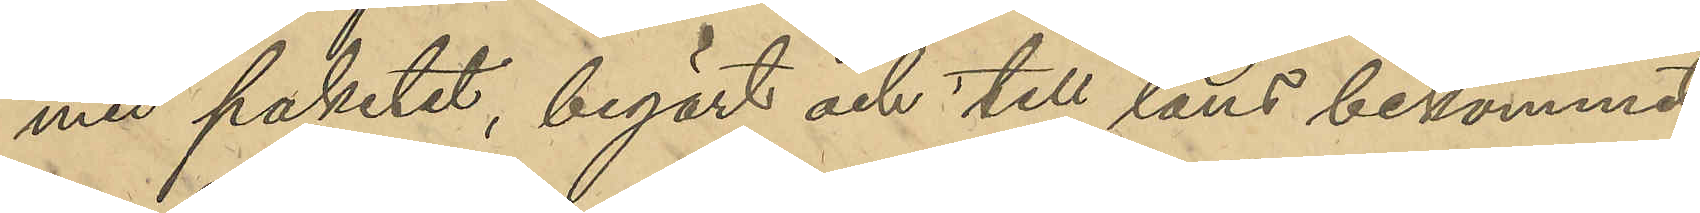med paketet, begärt och till låns bekommit
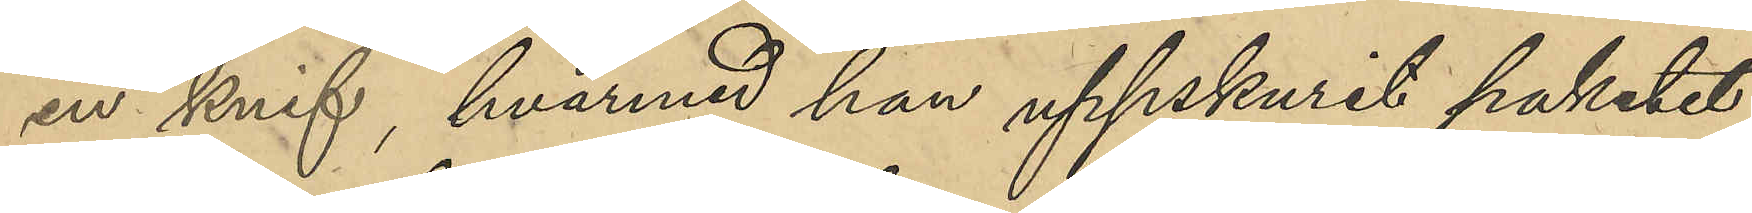en knif, hvaremot han uppskurit paketet;
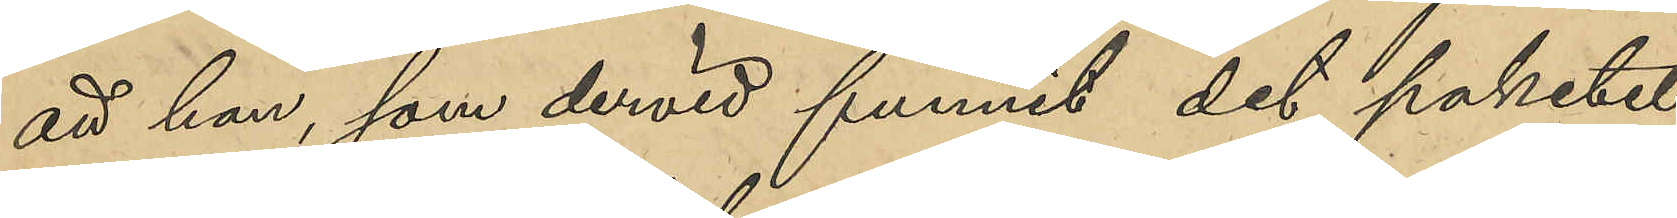att han, som dervid funnit det paketet
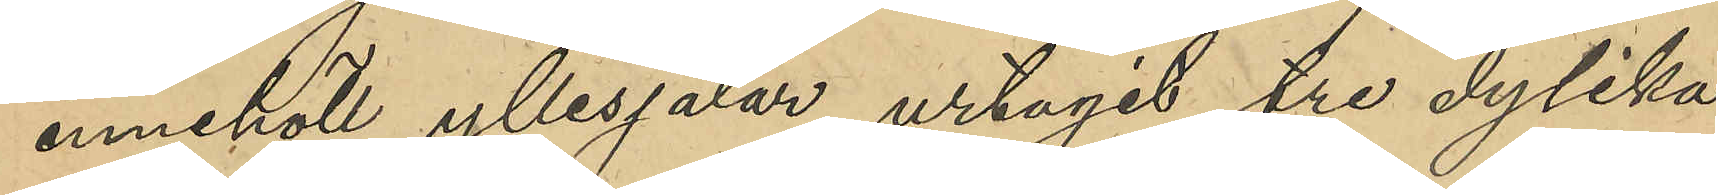innehöll yllesjalar, urtagit tre dylika;
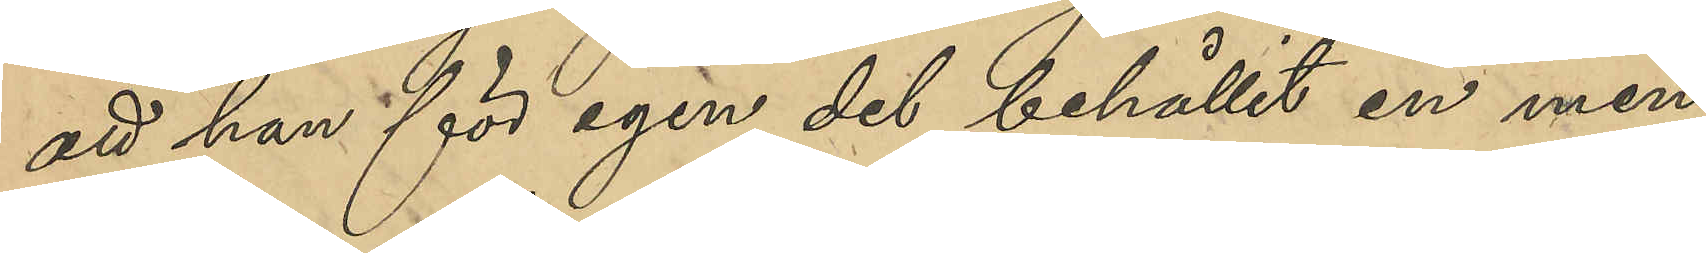att han för sin egen del behållit en men
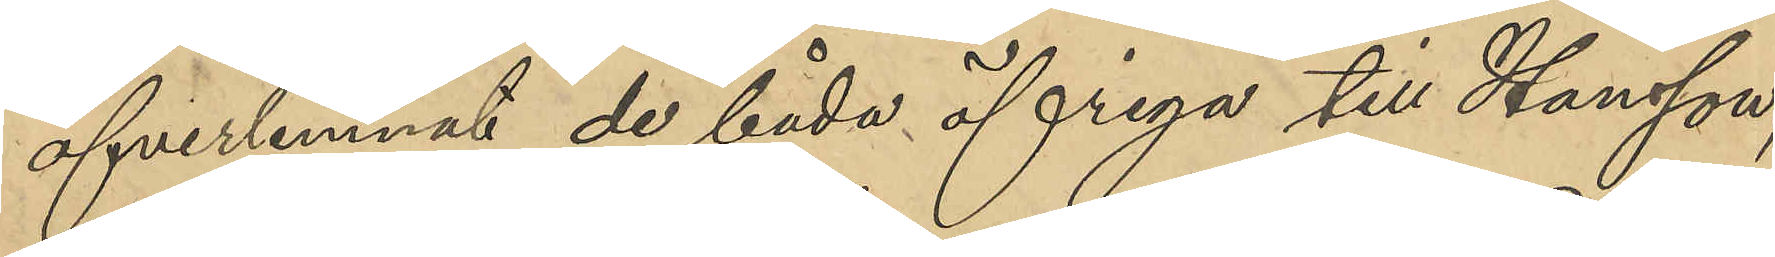öfverlemnat de båda öfriga till Hansson;
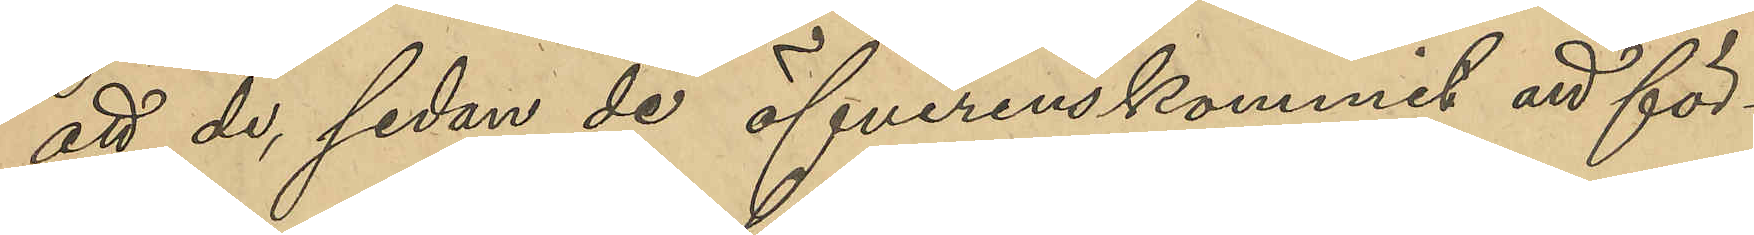att de, sedan de öfverenskommit att för¬
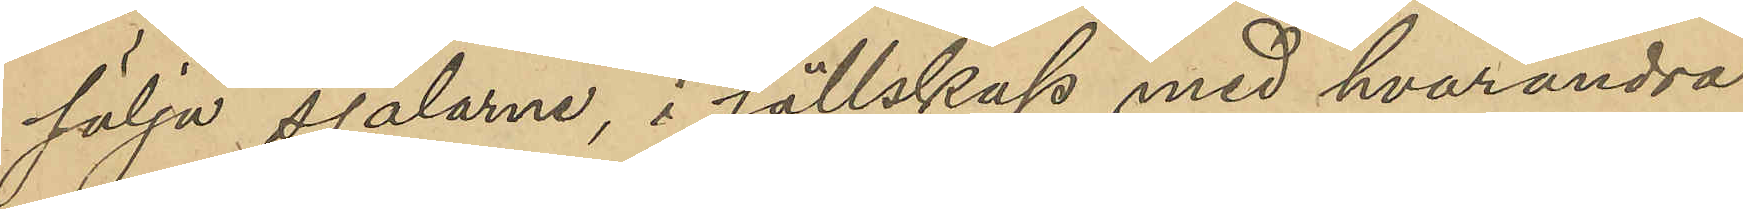sälja sjalarna, i sällskap med hvarandre
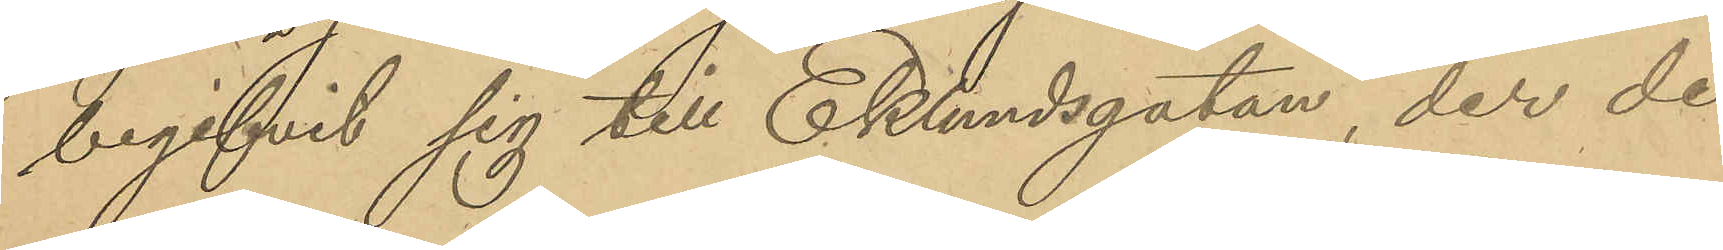begifvit sig till Eklundsgatan, der de
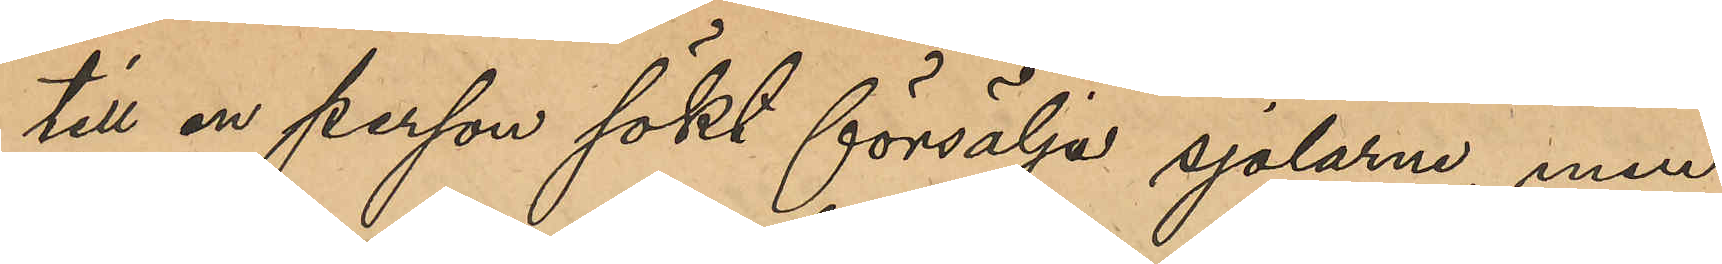till en person sökt försälja sjalarne, men
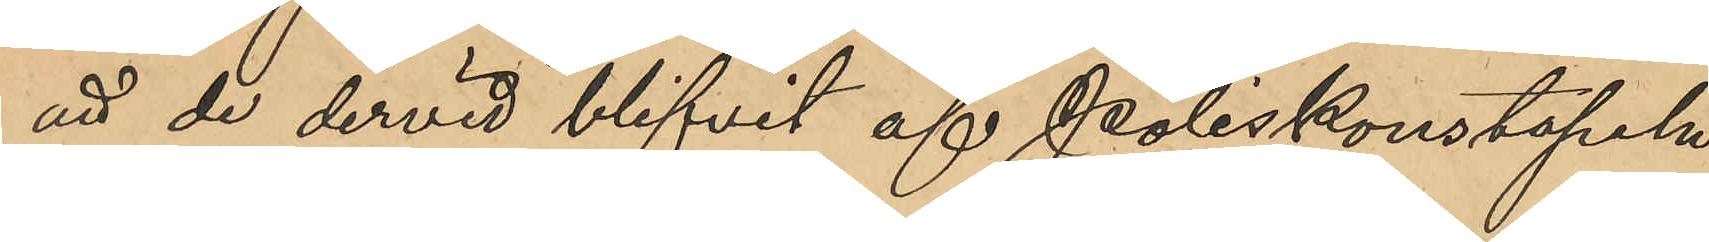att de dervid blifvit af Poliskonstapeln
